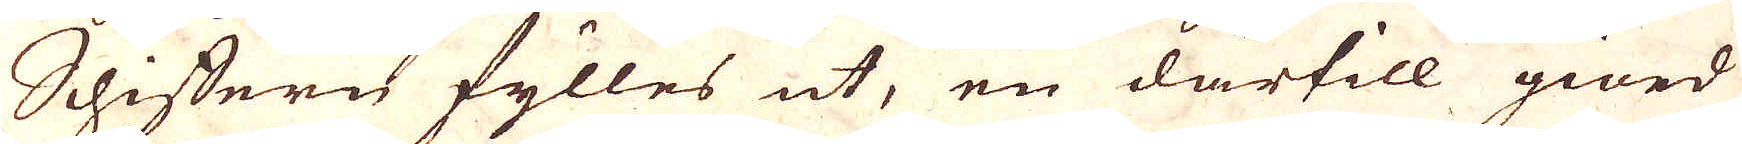Schiffern fylles ut, en därtill giord
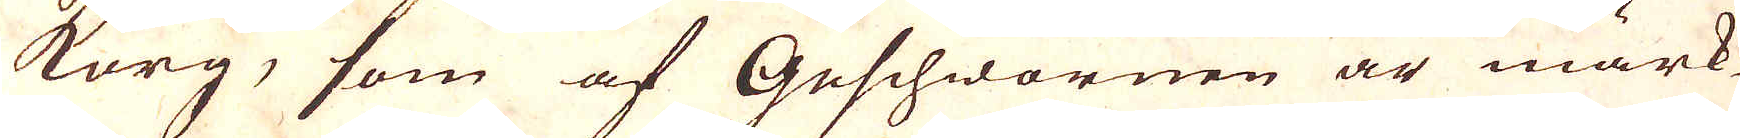korg, som af Geschwornen är märk-
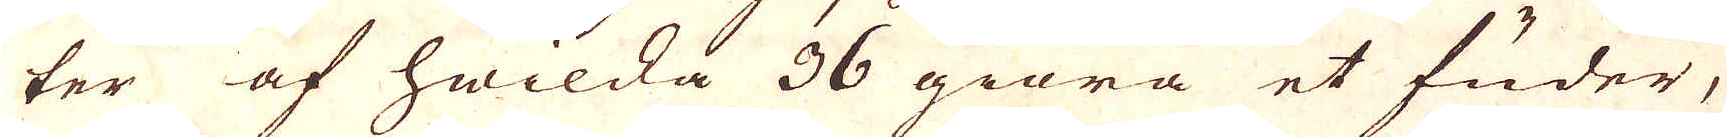ter af hwilka 36 giöra et fuder,
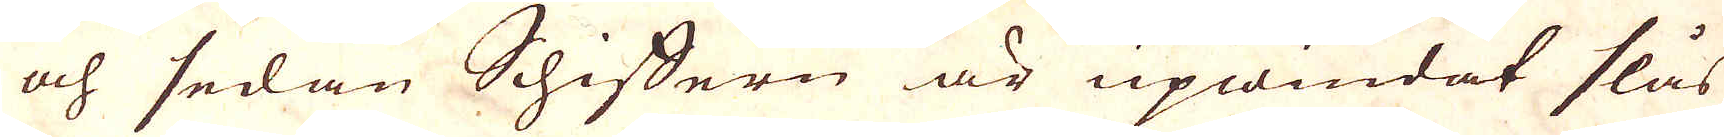och sedan Schiffern är upwindat slås
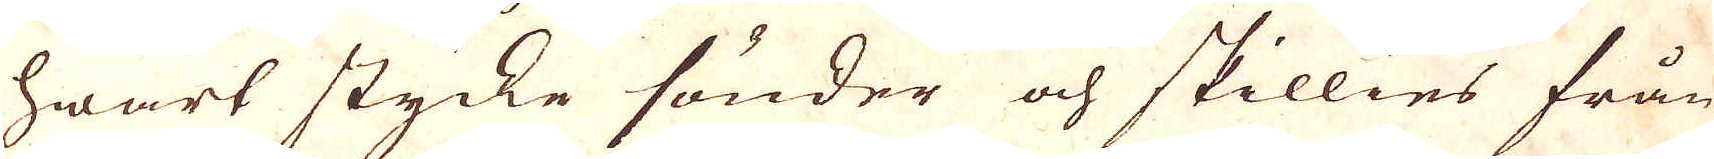hwart stycke sönder och skillies från
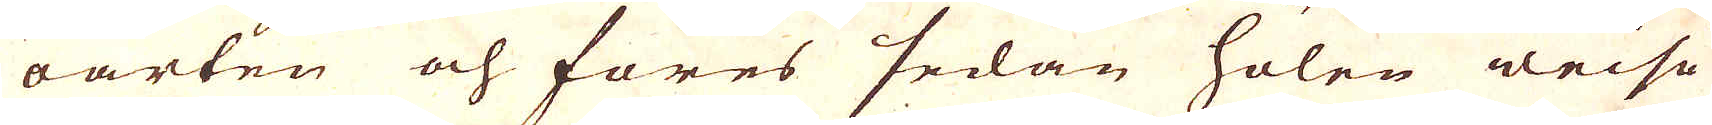oarten och föres sedan hölen wise
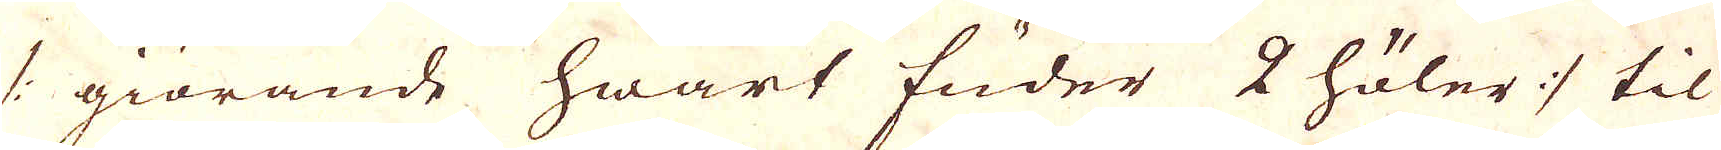/: giörande hwart fuder 2 höler :/ til
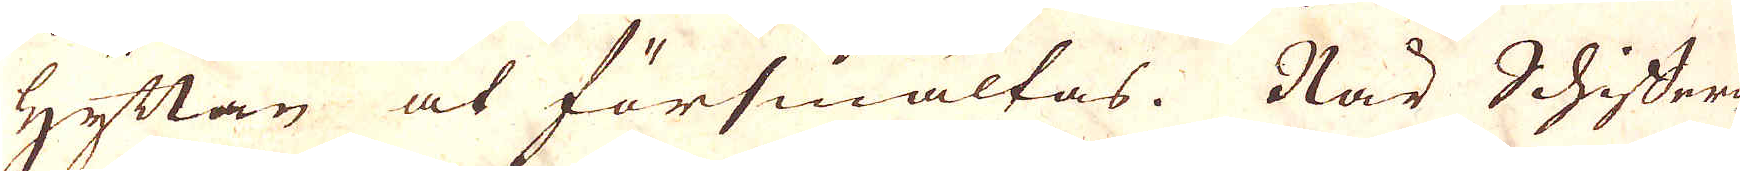Hyttan at försmältas. När Schiffer
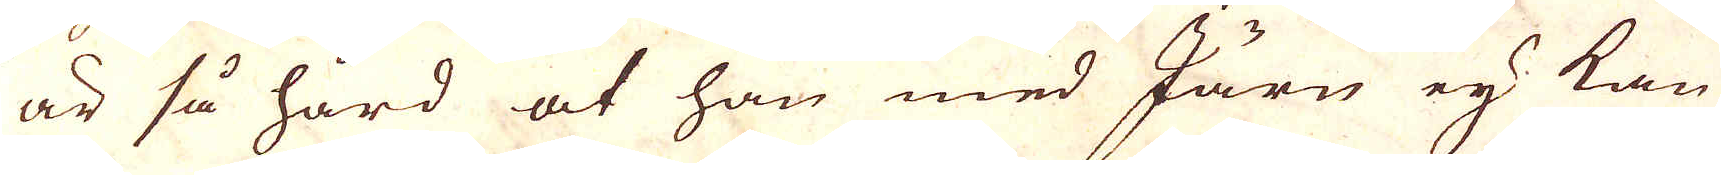är så hård at han med Järn ej kan
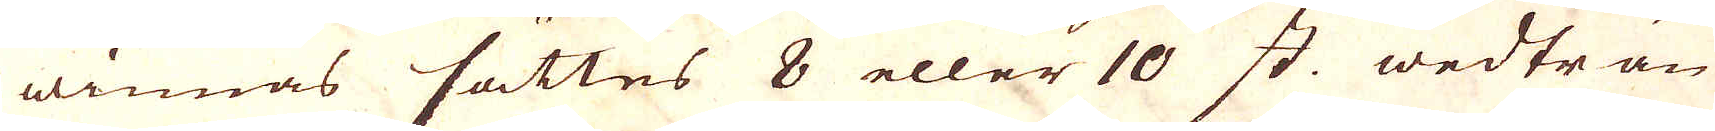winnas sättes 8 eller 10 st. wedträn
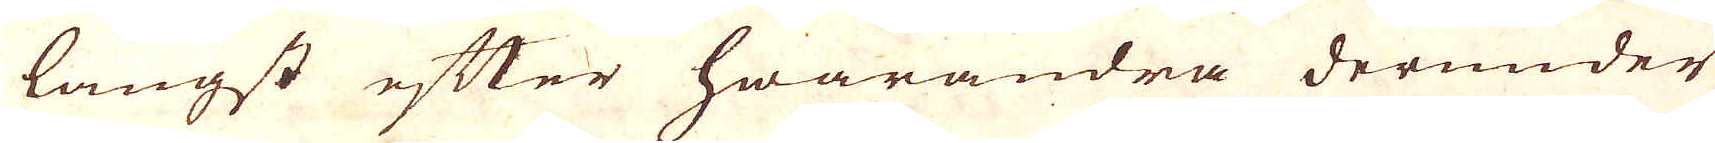längst efter hwarandra därunder
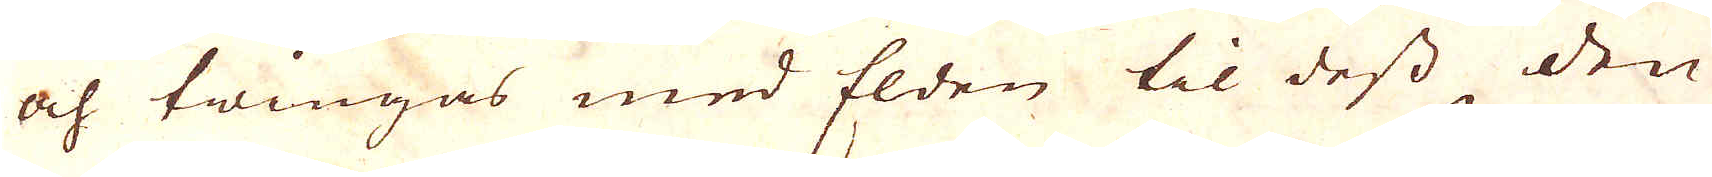och twingas med Elden til dess den
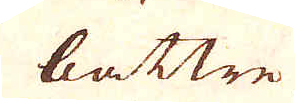bättre
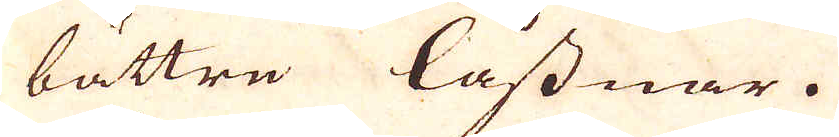bättre låssnar.
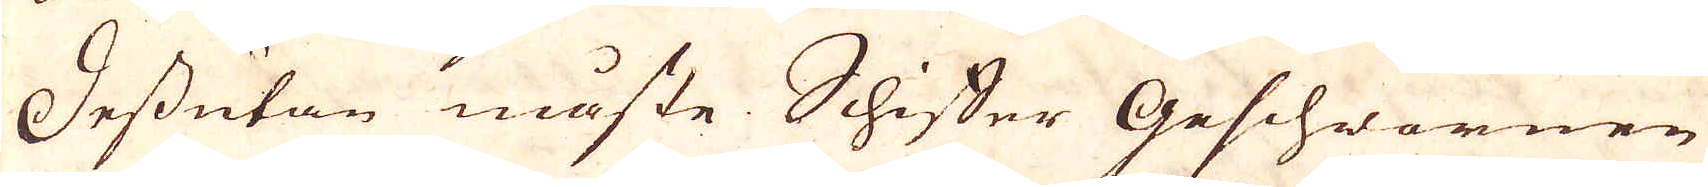Dessutan måste Schiffer Geschwernen
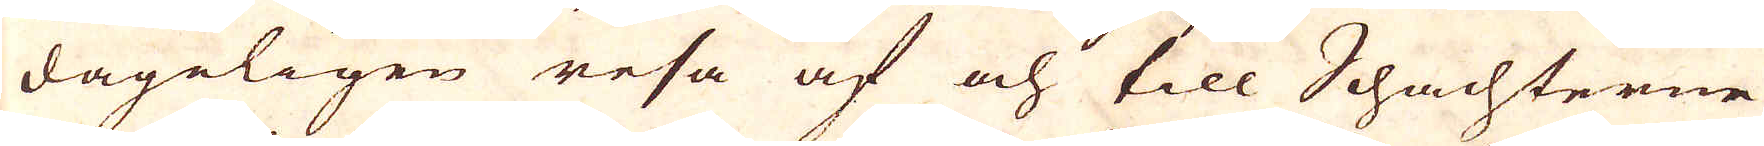dageligen resa af och till Schachterne
